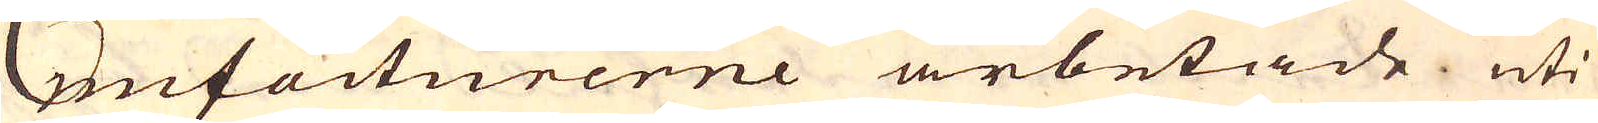nufacturerne arbetade uti
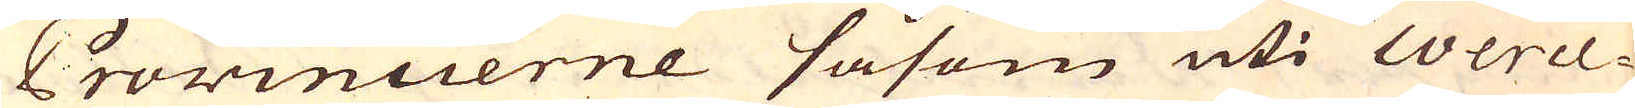Provinccerne såsom uti Werce-
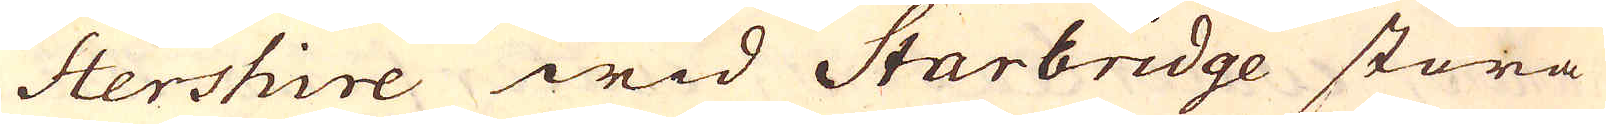stershire wid Starbridge stora
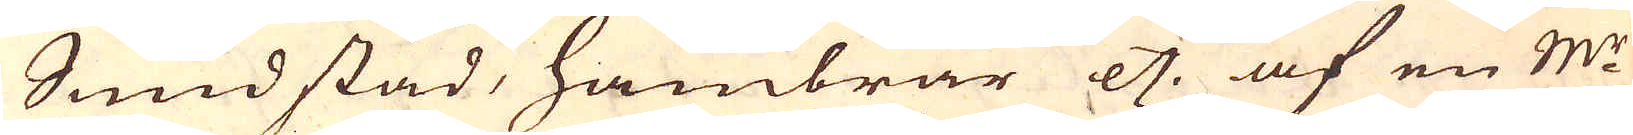Smidstäd, hambrar etc. af en M:r
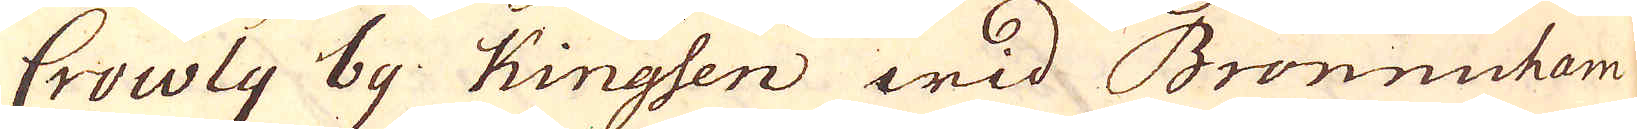Crowly by Kingsen wid Bronncham
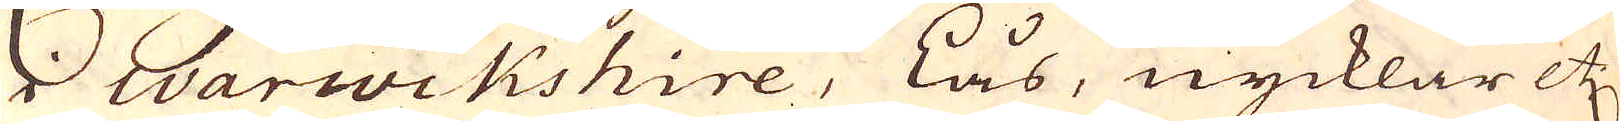i Warwikshire, Lås, nycklar etc
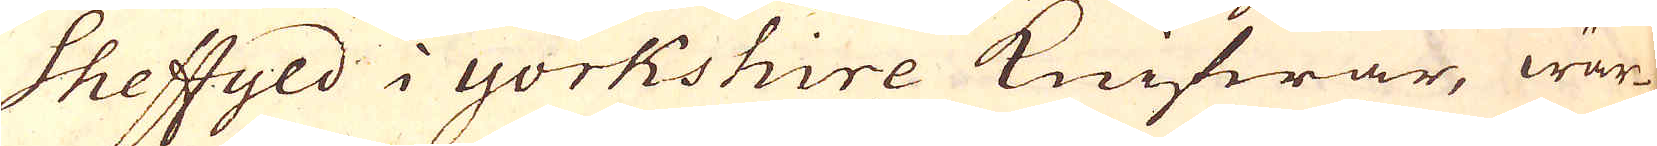Sheffyld i Yorkshire knifwar, wär-
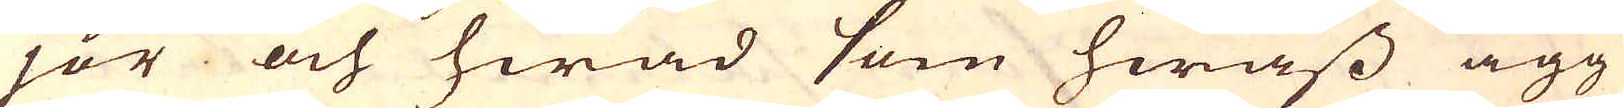jor och hwad som hwass ägg
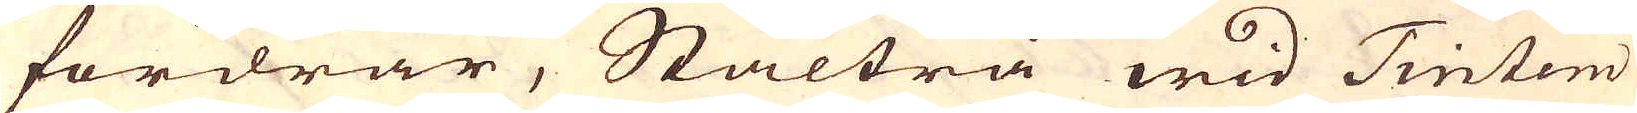fordrar, Stålträ wid Tintem
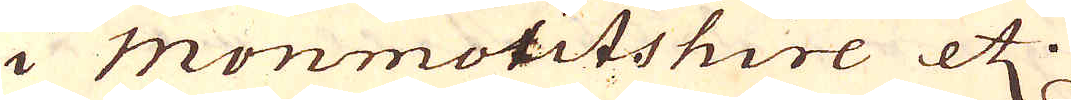i Monmotitshire etz.
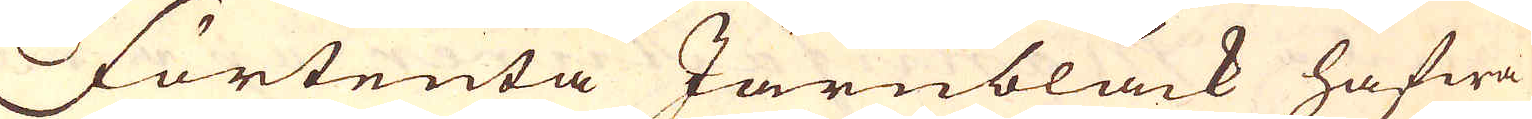Förtenta Järnbläck hafwa
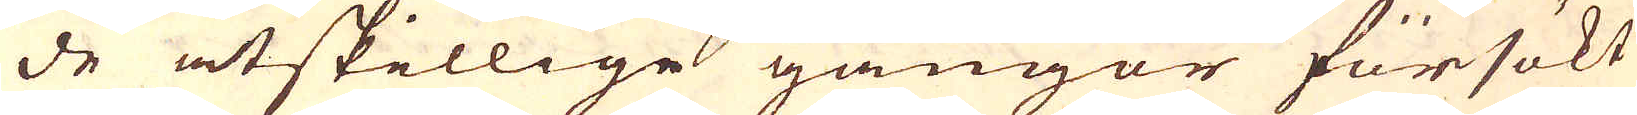de åtskillige gångor försökt
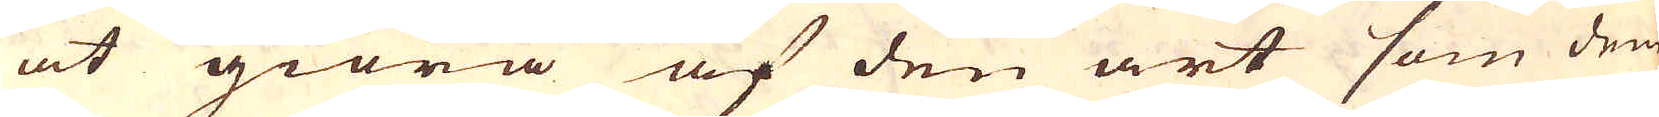at giöra af den art som den
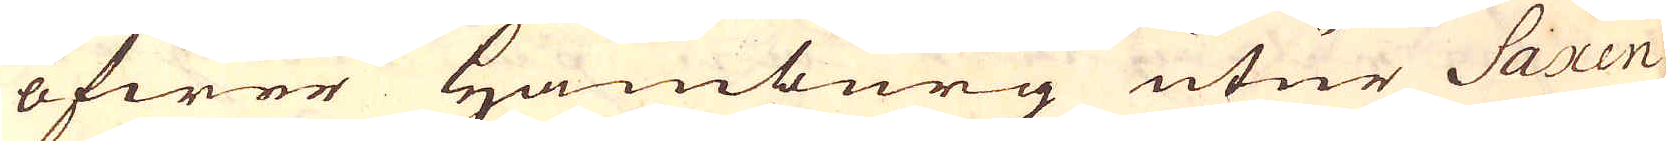öfwer Hamburg utur Saxen
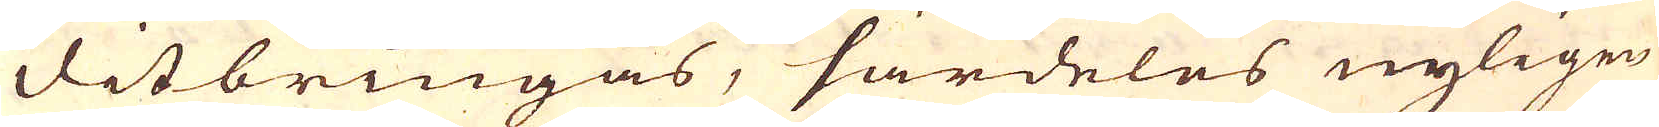ditbringas, särdeles nyligen
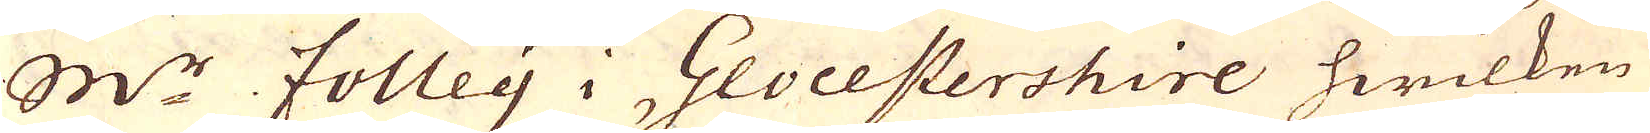M:r Folley i Glocestershire hwilken
